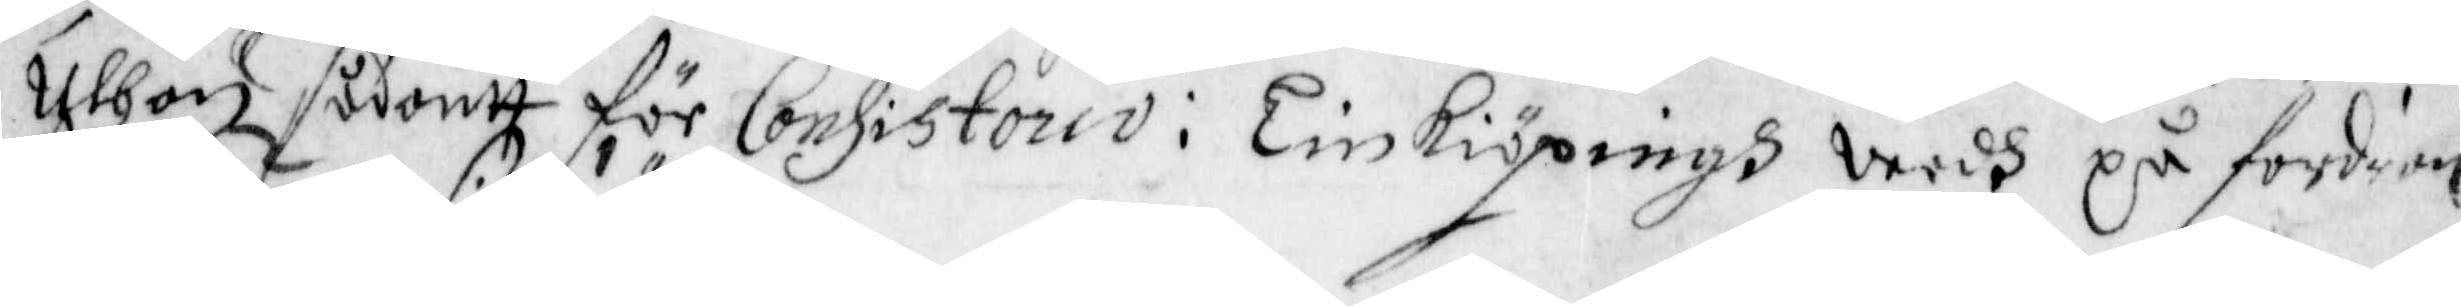uthan sådantt för Consistorio i Linkiöpingh vedh på fordran
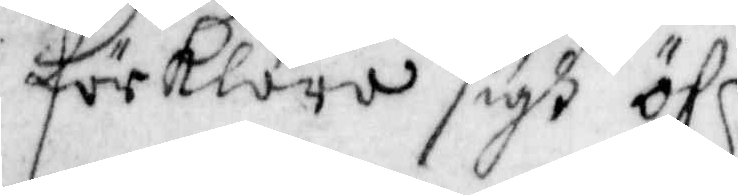förklara sigh öfr,
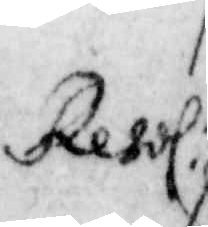Resol:
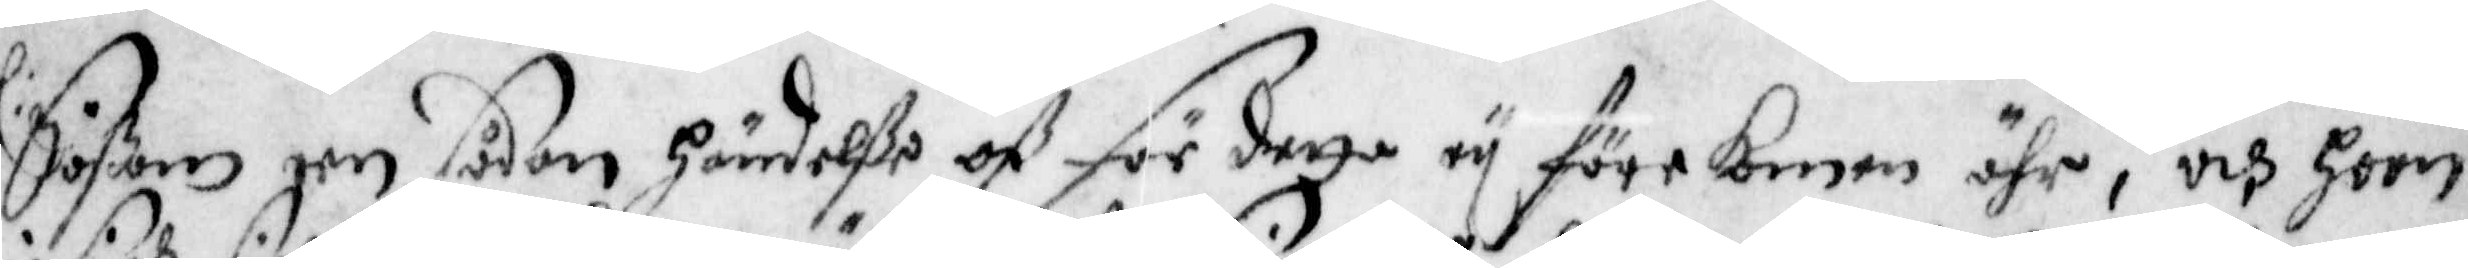Såßom een sådan Händelße oß för detta ey förekomen ähr, och hoon
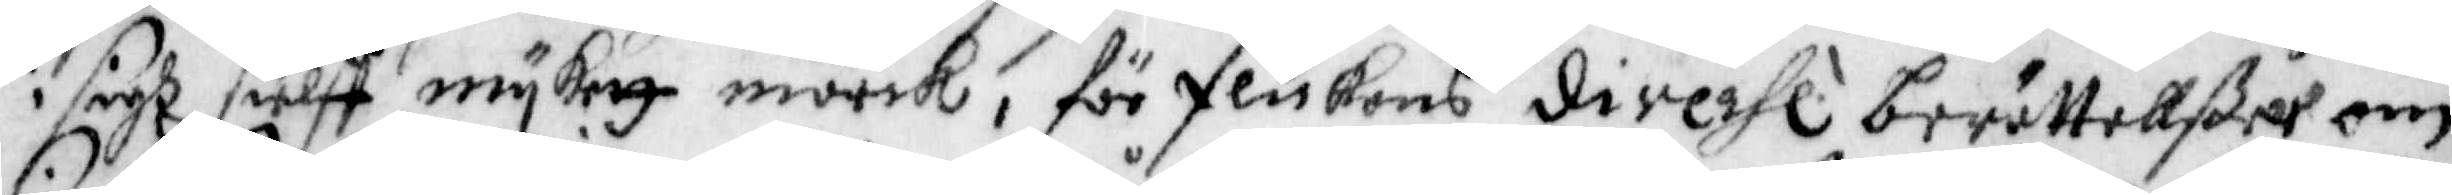i sigh sielff mykett mörck, för flickans divehl berättellßer om
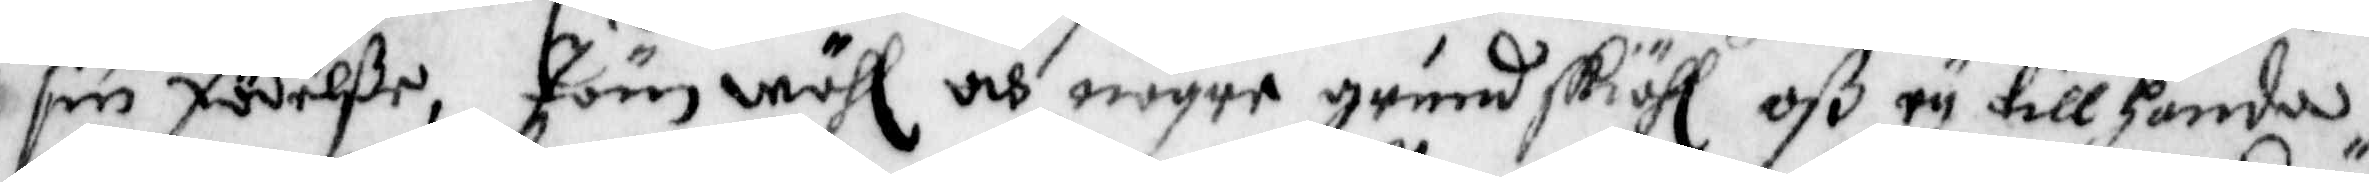sin födelße, Jämwähl och någre grundskiähl oß ey tillhanda,
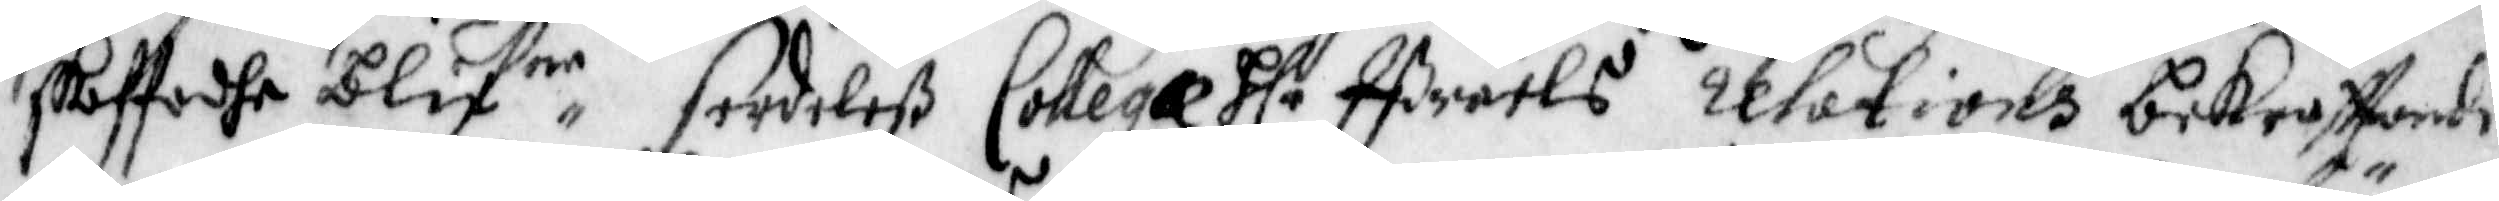skaffadhe blifne serdeles Collega Hlr Ißraels relations bekräffande
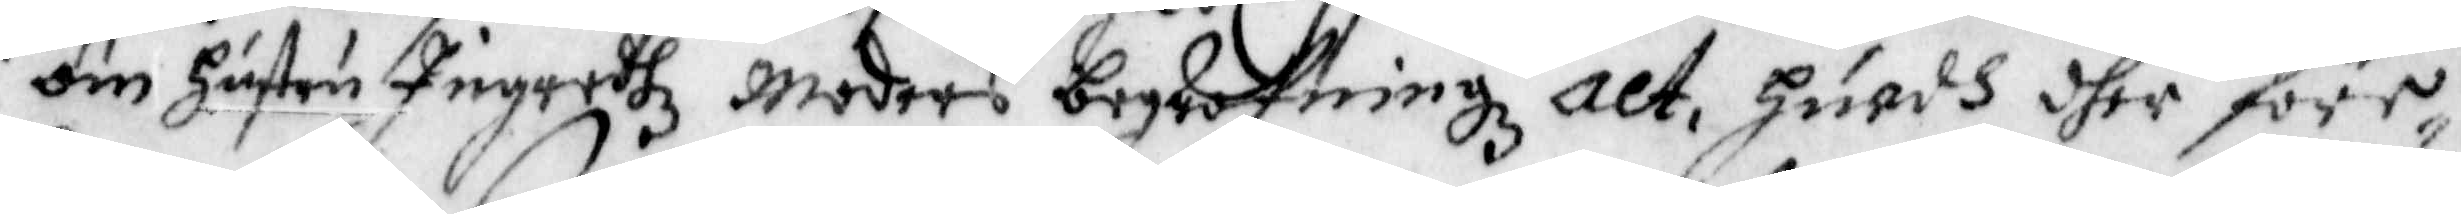om Hustru Ingredhz Moders begrafningz act, huadh dher före¬
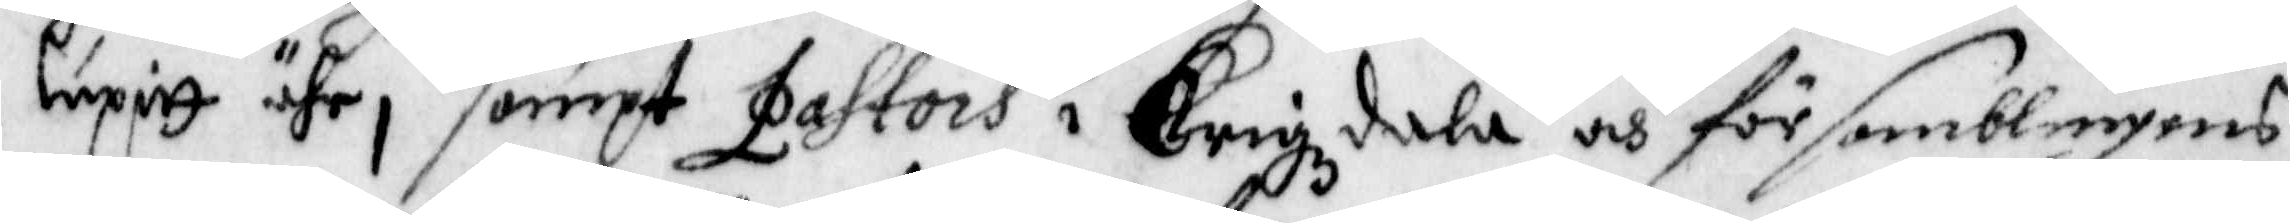lupitt ähr, sampt Pastors i Krigzdala och församblingens
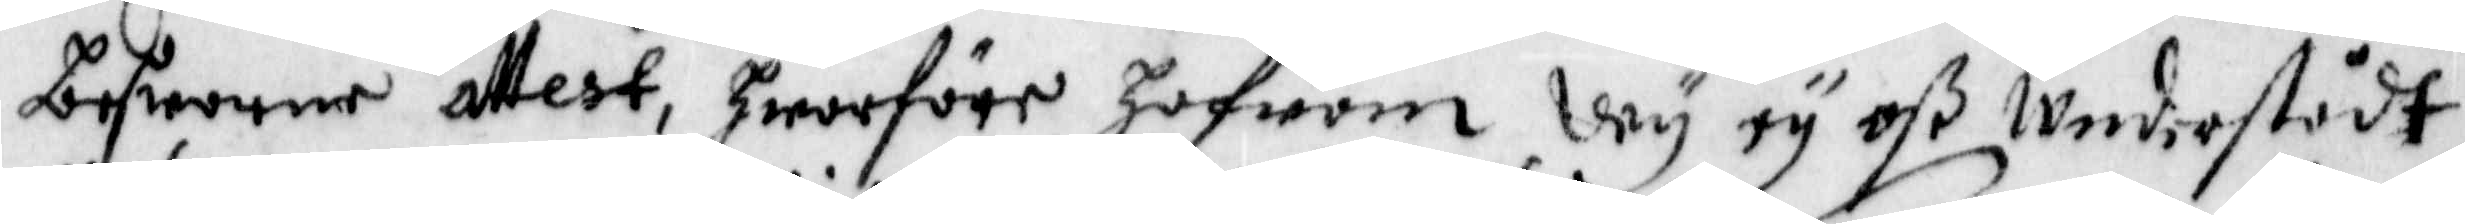besworne attest, hwarföre hafwom Wy ey oß Understådt
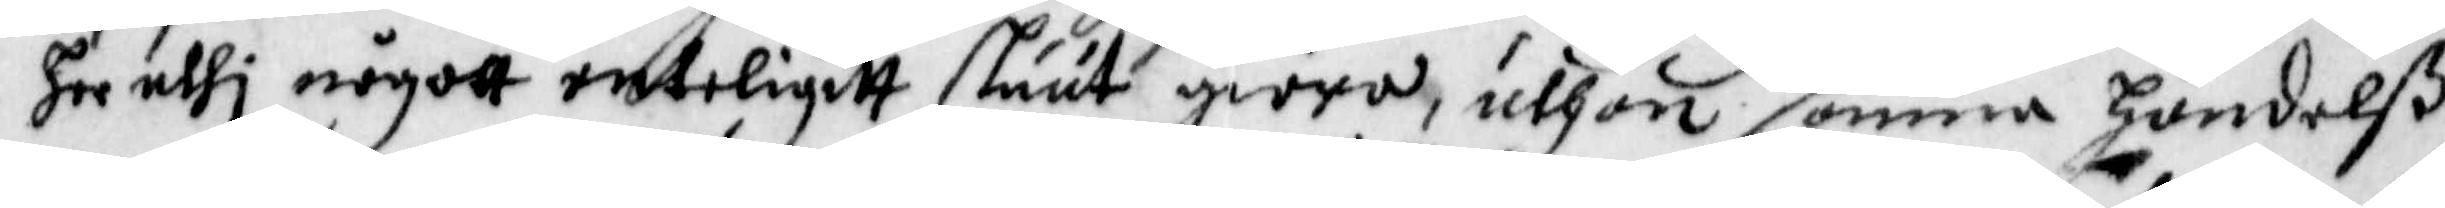her uthi någott enteligitt sluut giöra, uthan samma Handelß
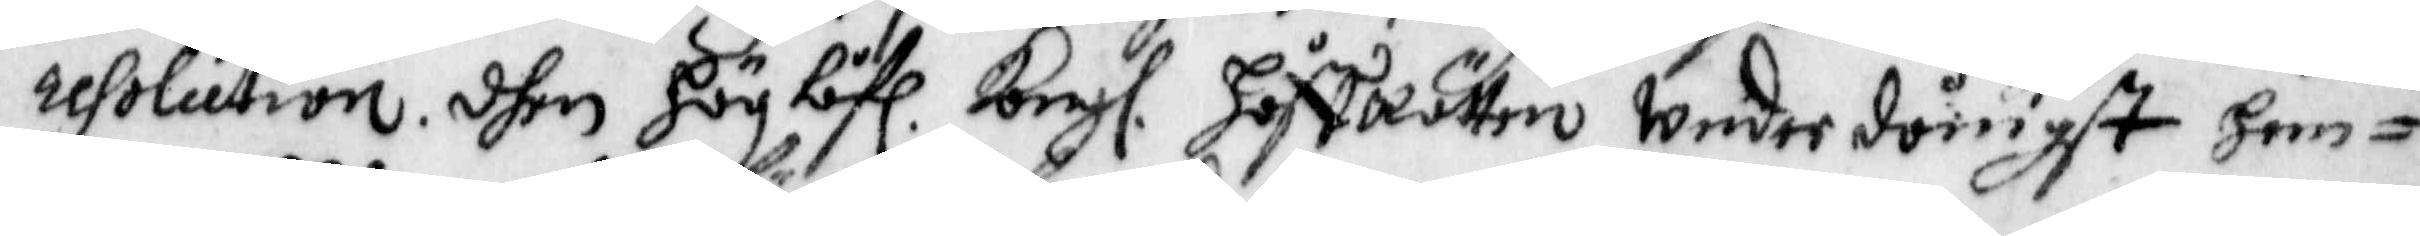resolution dhen Höglåfl. Kongl. HoffRätten underdånigst hem¬
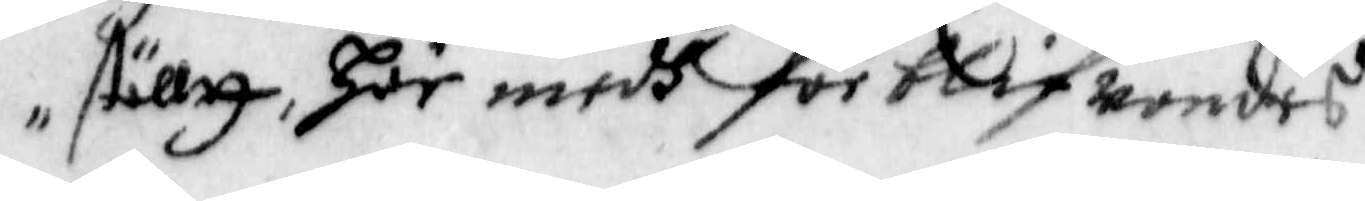ställtt, Här medh förblifwandes
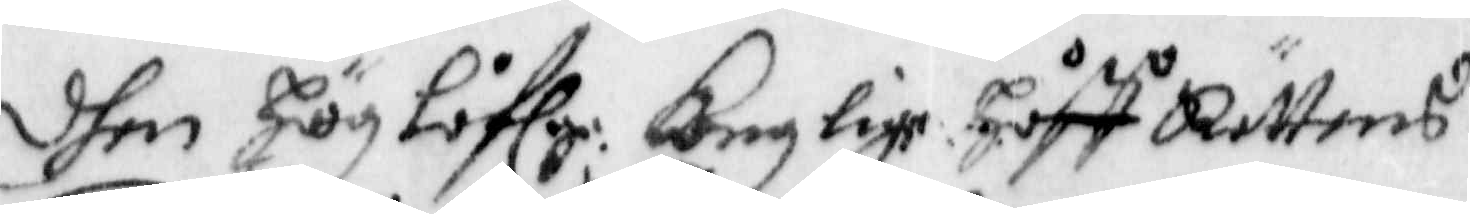dhen Höglåflg Konglige Håff Rättens
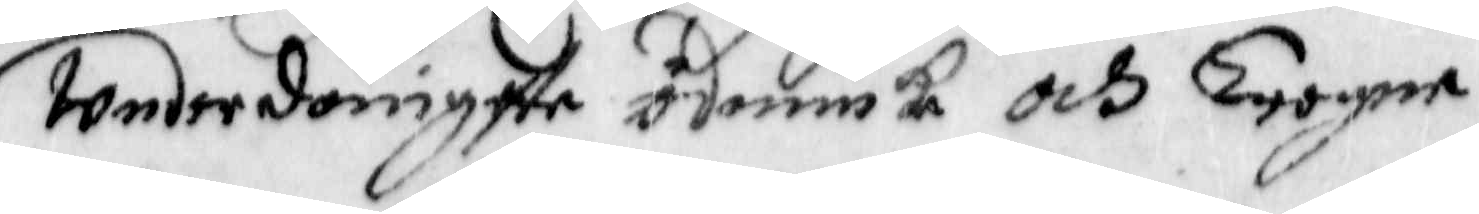Underdånigste ödmiuke och Trogne,
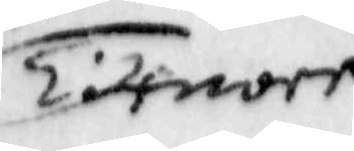Tienare
